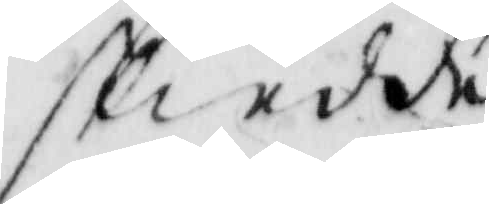skiedde
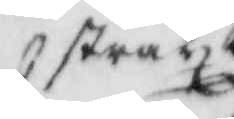stract
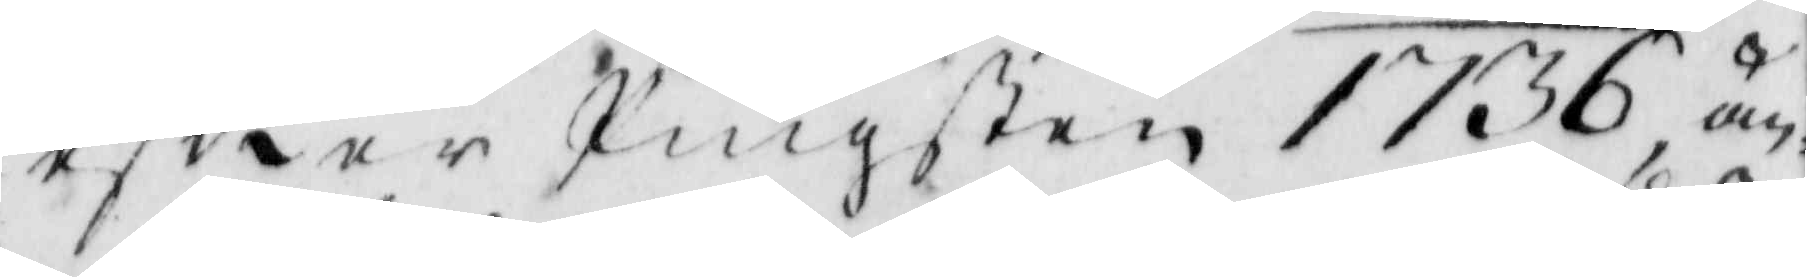eftter Pingsten 1736, än¬
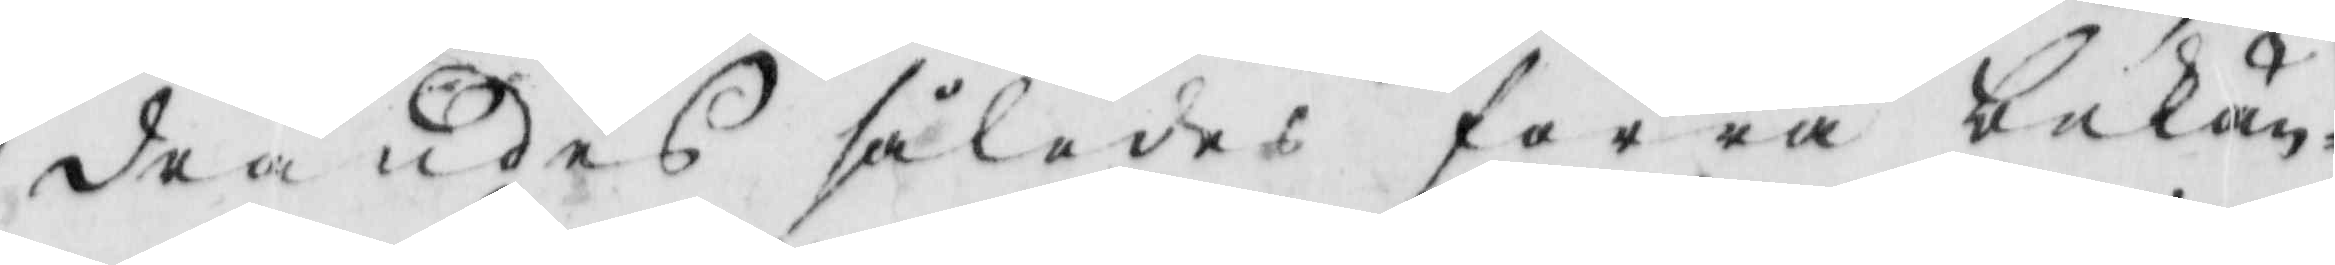dandes således förra bekän¬
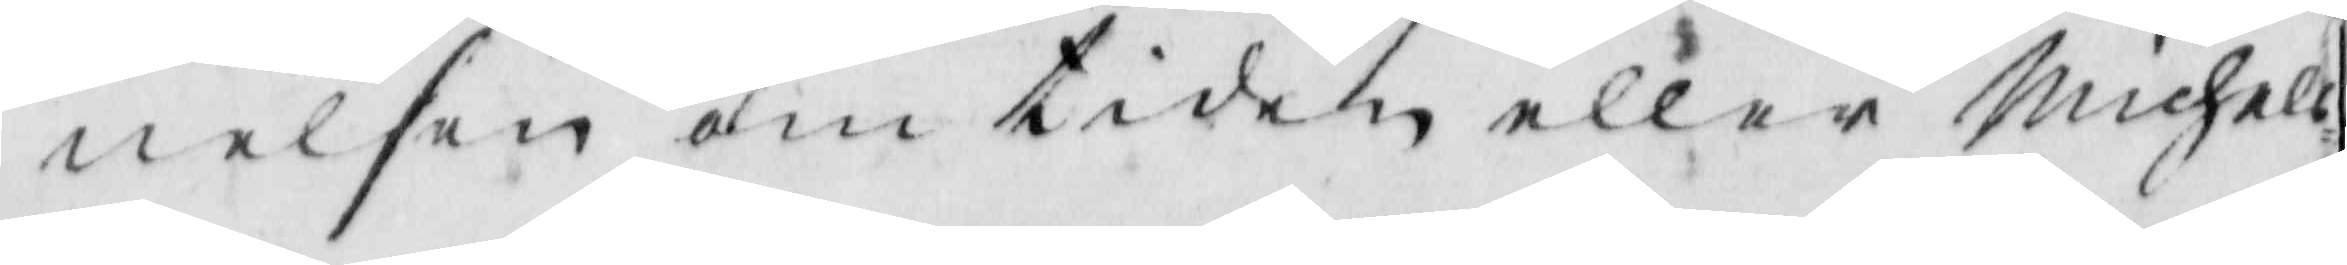nelsen om tiden eller Michels¬
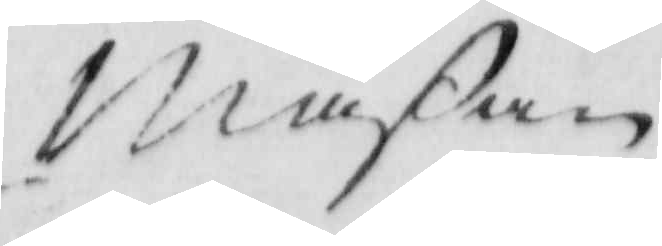Mäßan
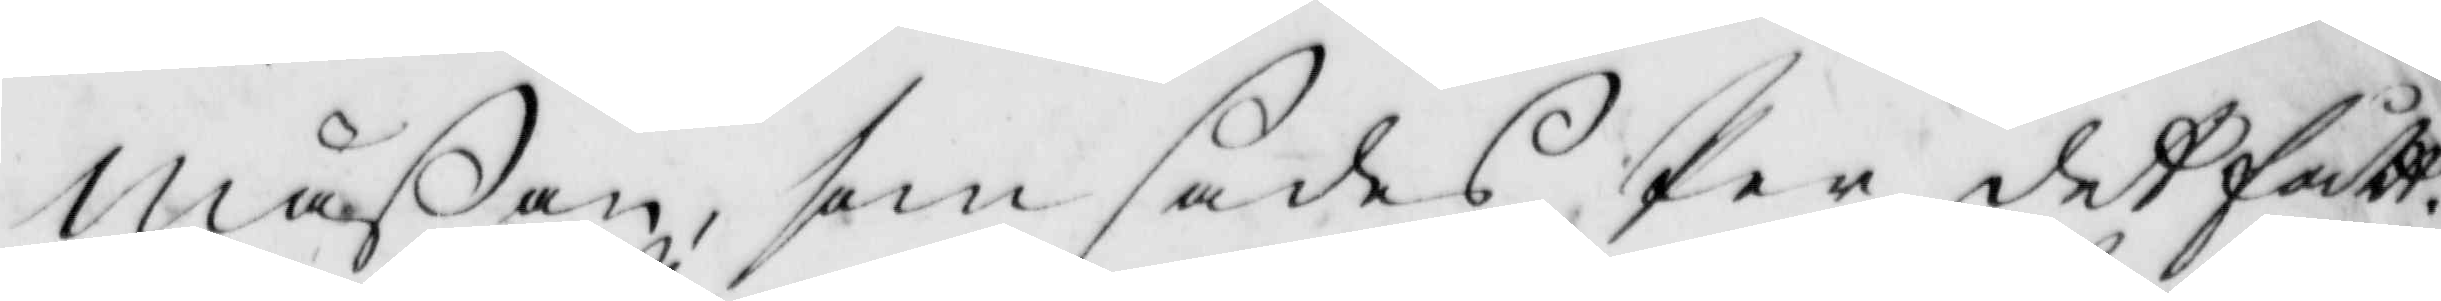Mäsan, som sades Per der fått.
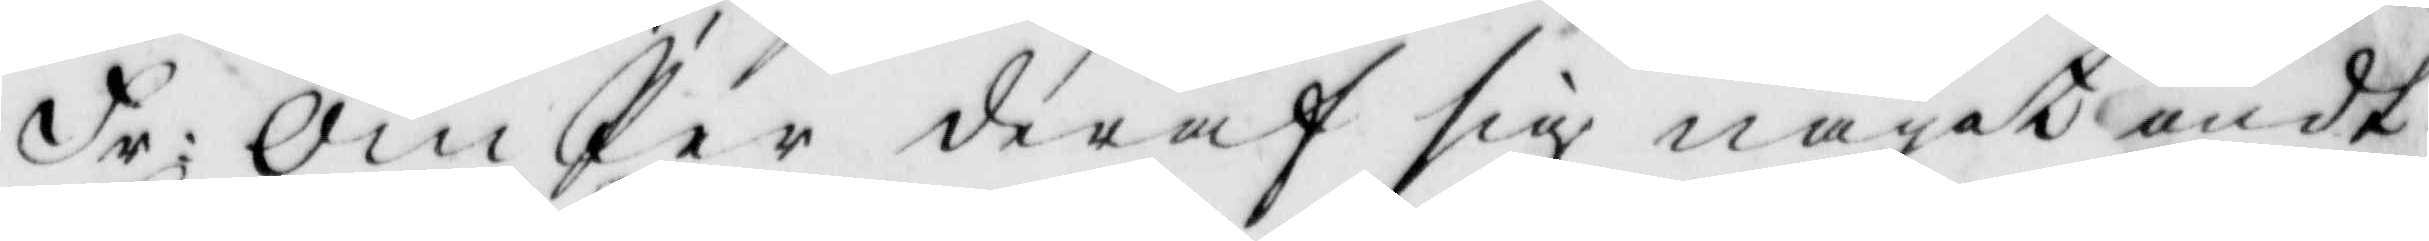Fr: Om Per deraf sig något ondt
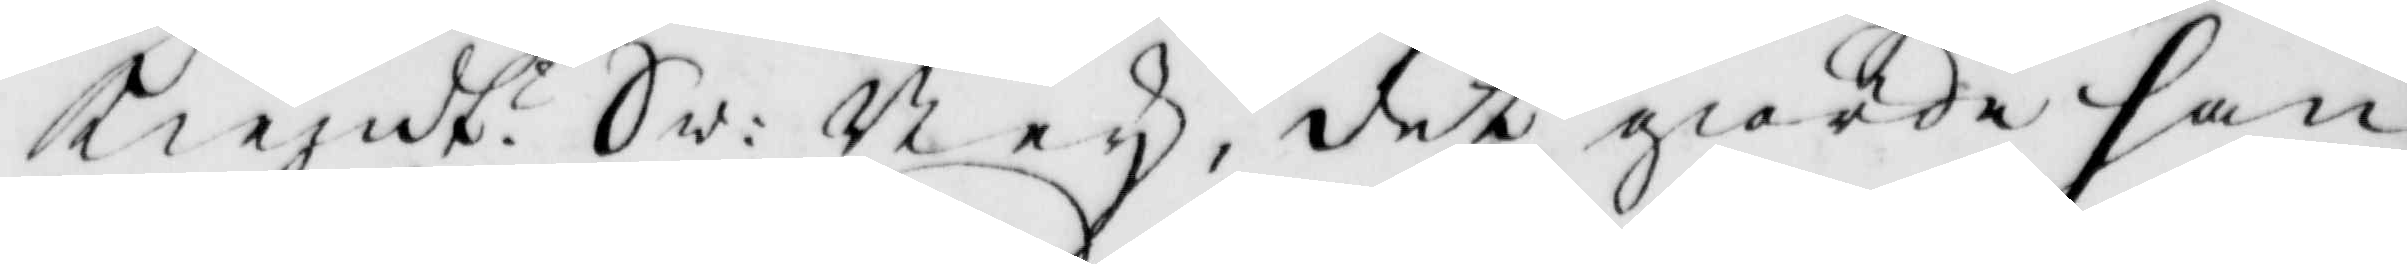kiendt? Sw: Ney, det giorde han
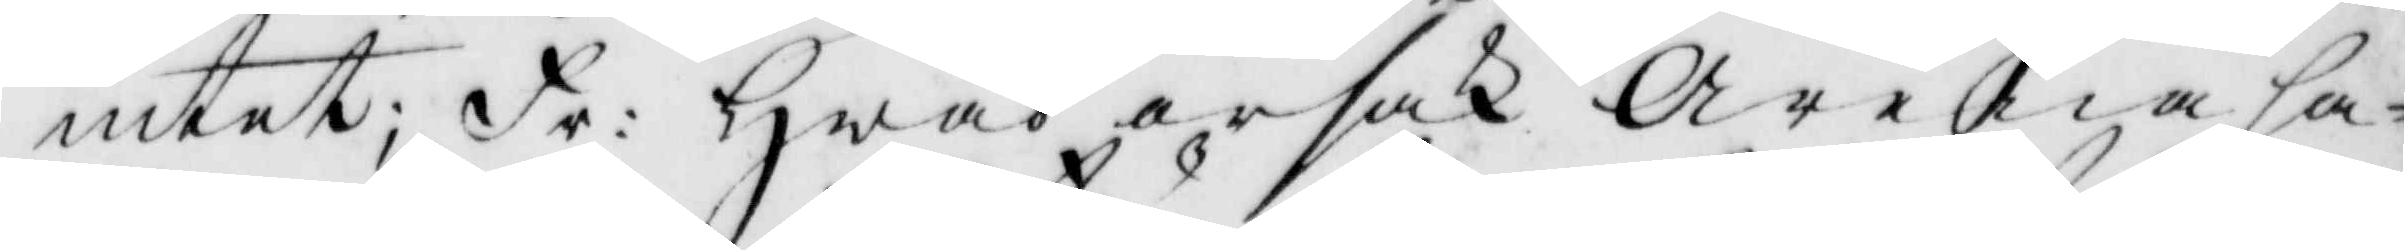intet; Fr: Hwad orsak Arena ha¬
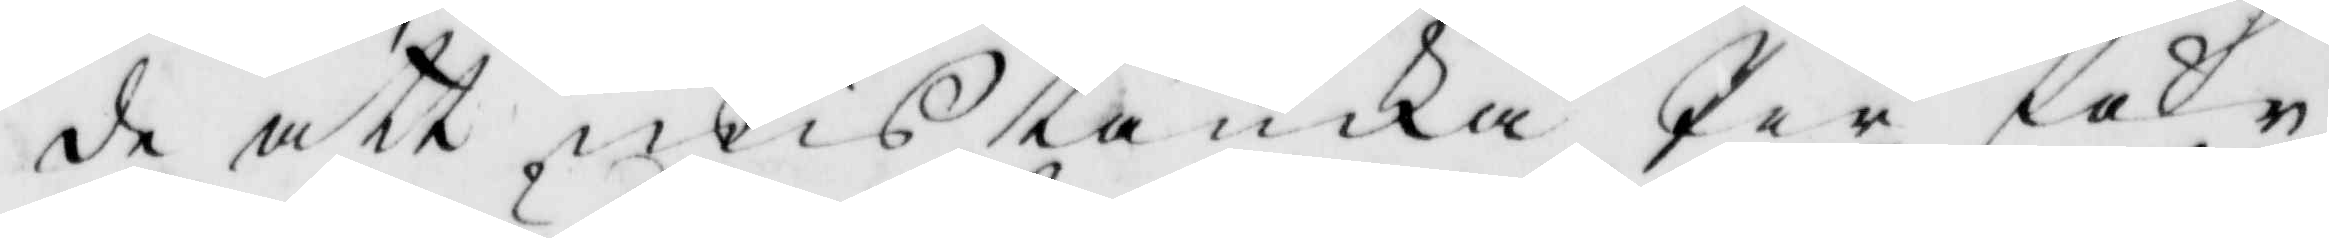de att mistänka Per får
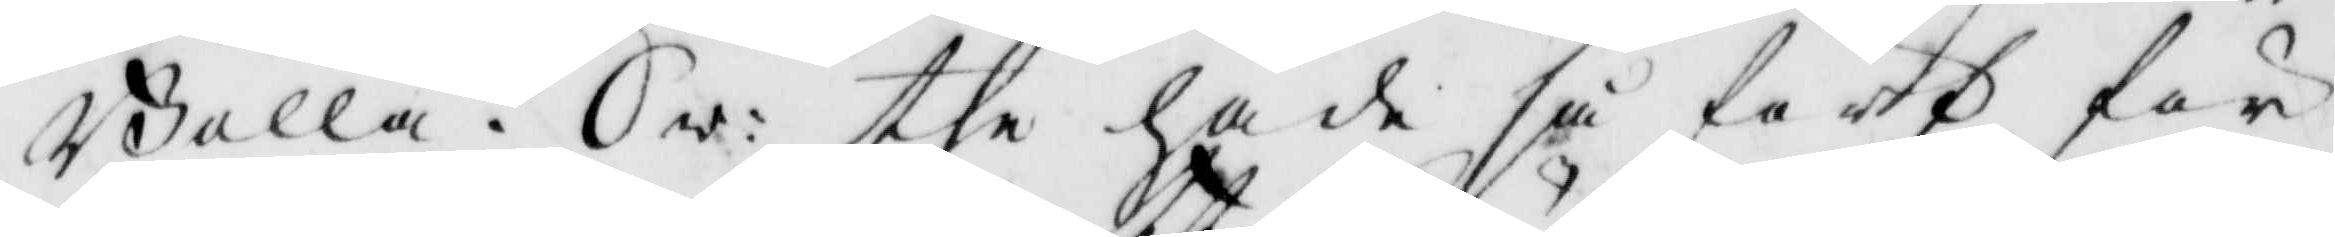Bolla? Sw: the hade så hört för
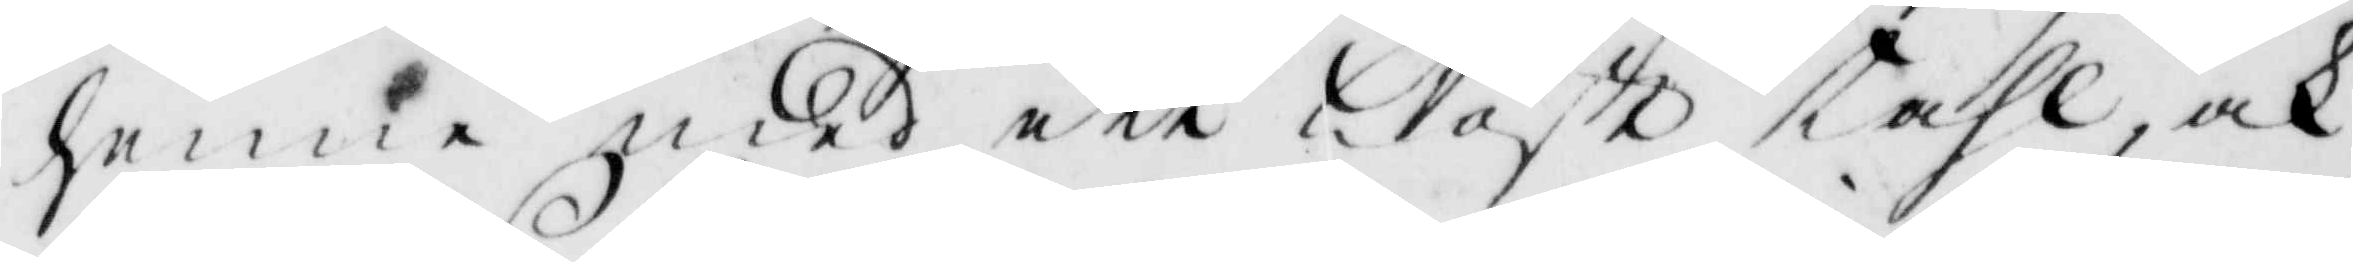henne med ett löst tahl, och
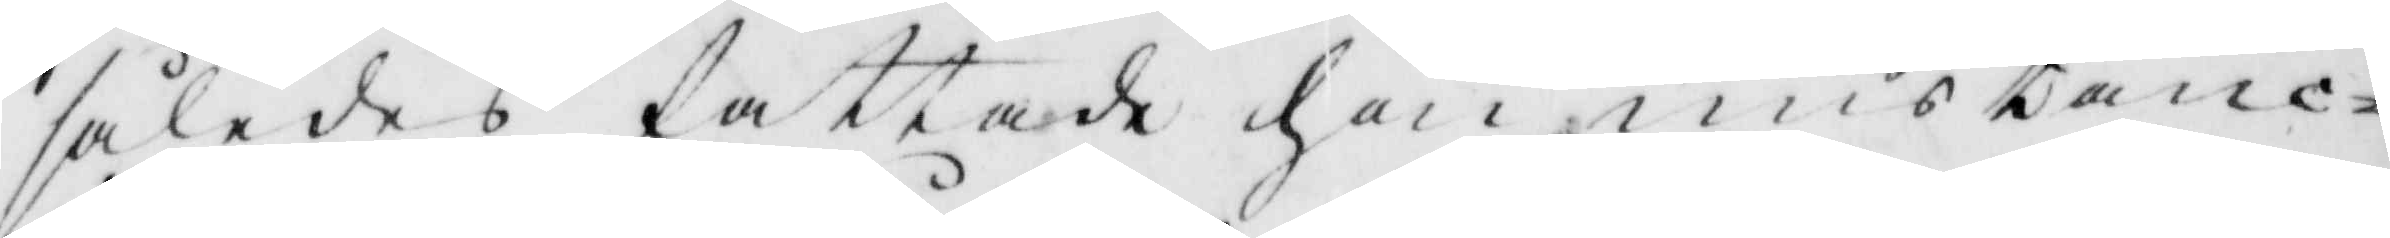således fattade hon mistanc¬
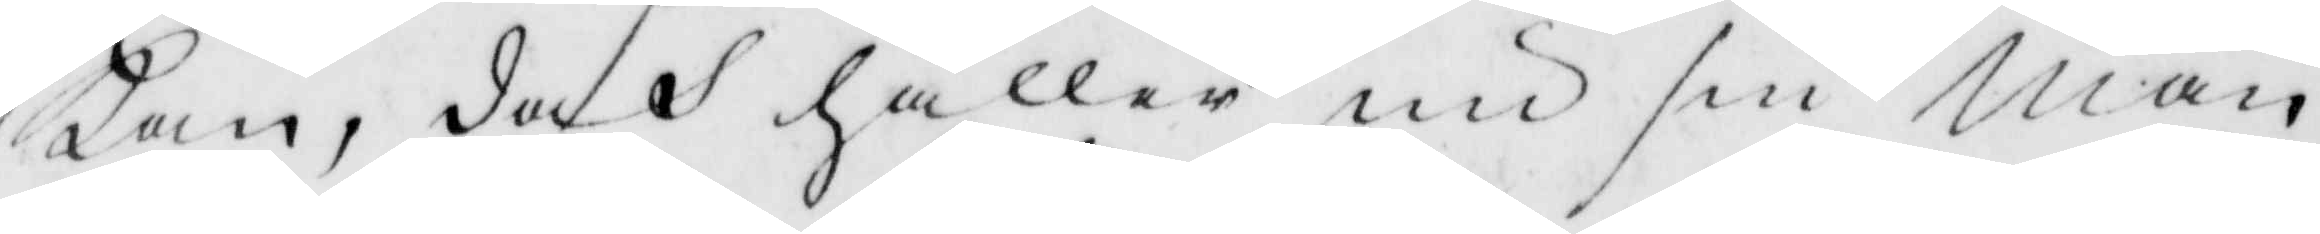kan, doch håller nu sin man
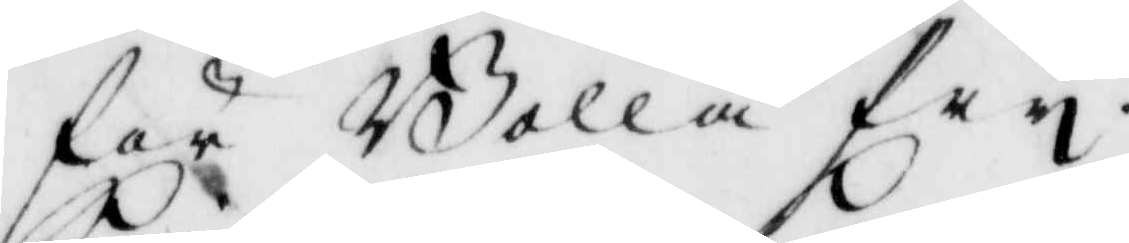för Bolla fry.
